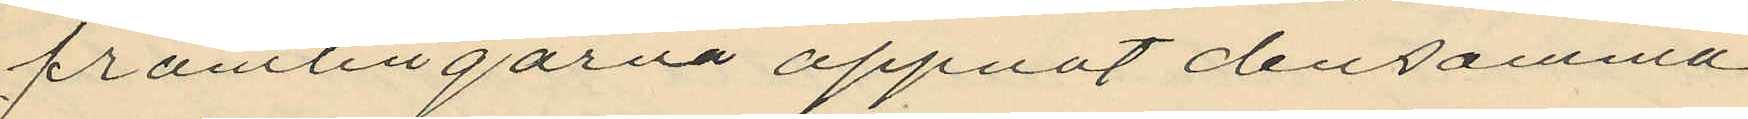främlingarna öppnat densamma
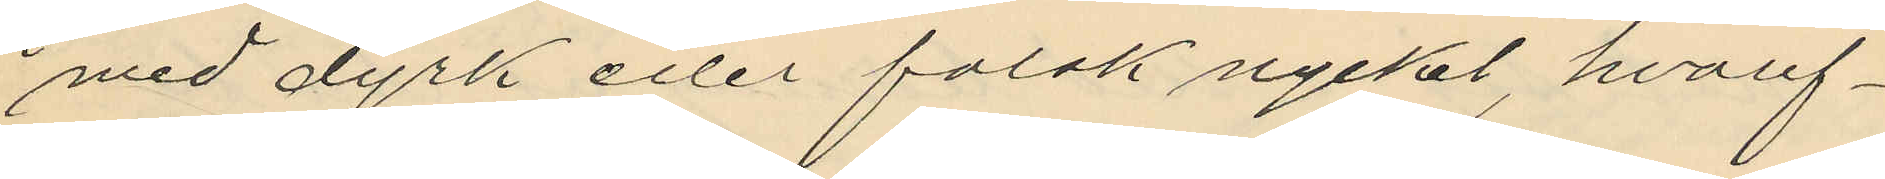med dyrk eller falsk nyckel, hvaref¬
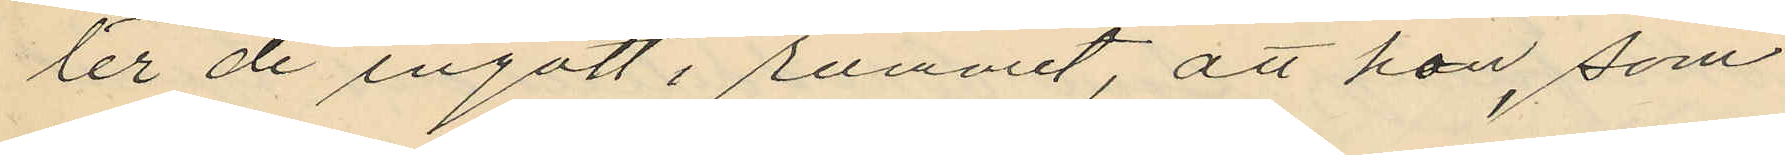ter de ingått i rummet, att hon, som
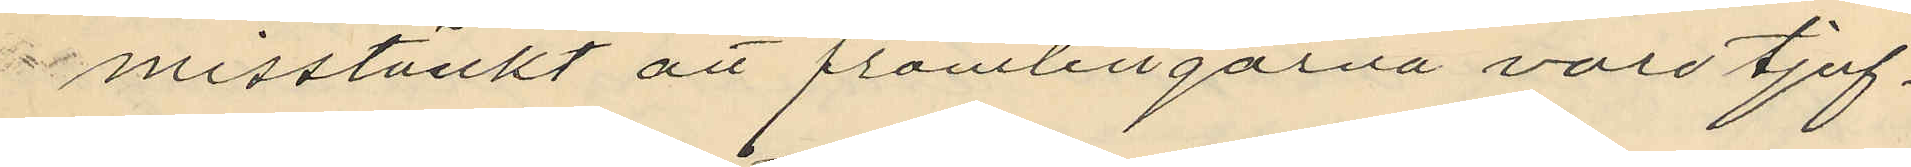misstänkt att främlingarna voro tjuf¬
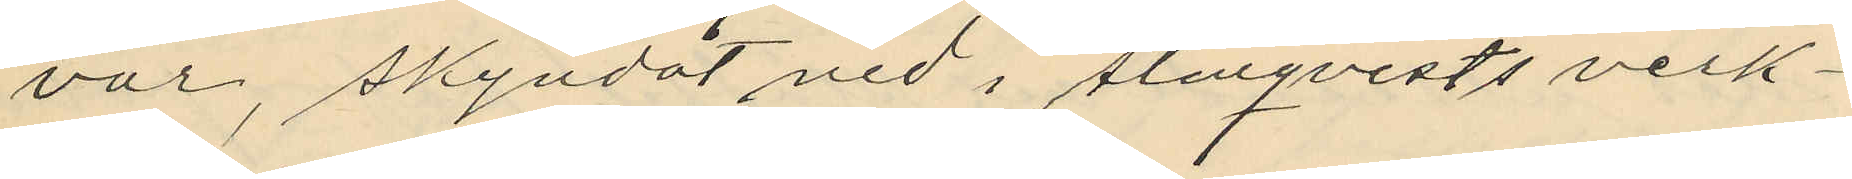var, skyndat ned i Almqvists verk¬
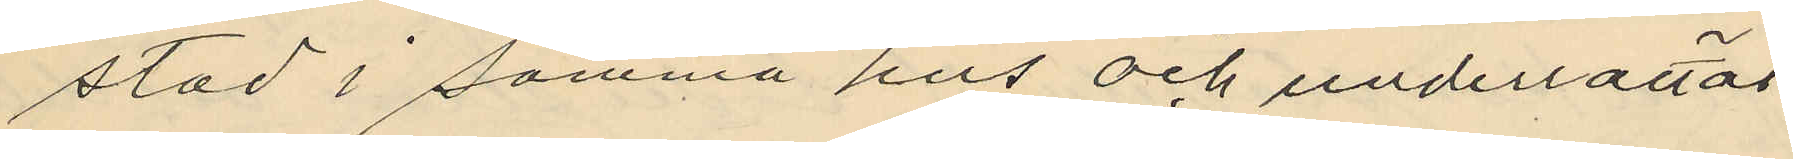stad i samma hus och underrättat
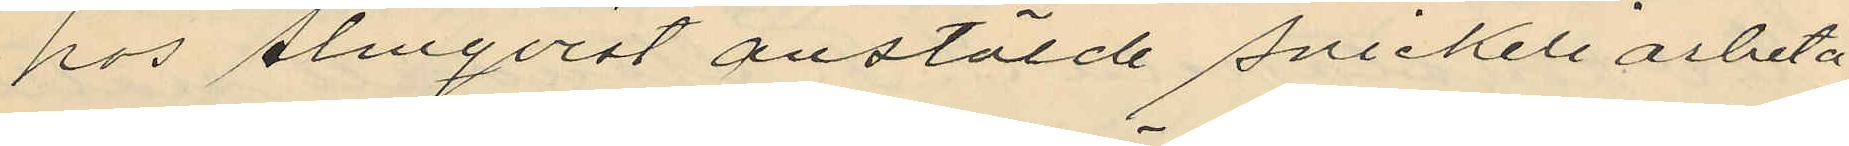hos Almqvist anstälde snickeriarbeta
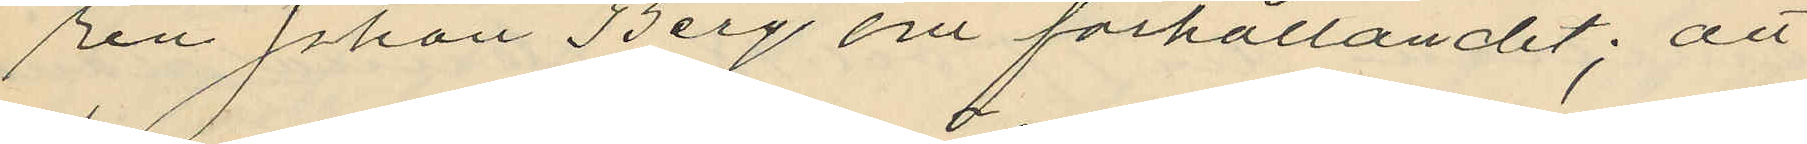ren Johan Berg om förhållandet; att
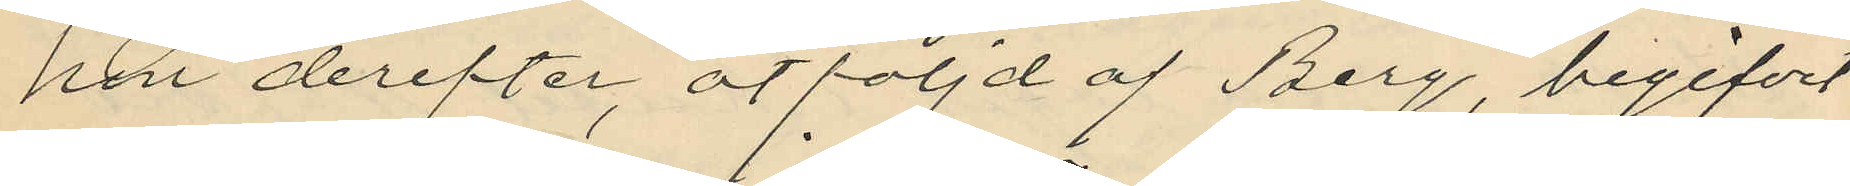hon derefter, åtföljd af Berg, begifvit
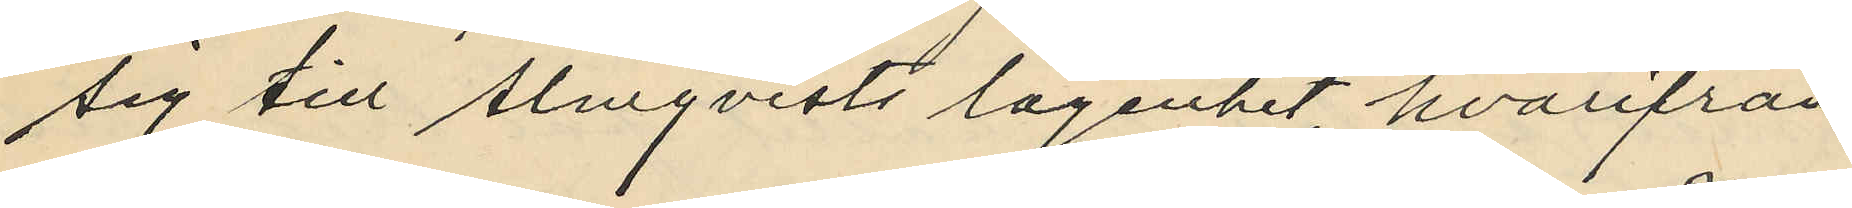sig till Almqvists lägenhet, hvarifrån
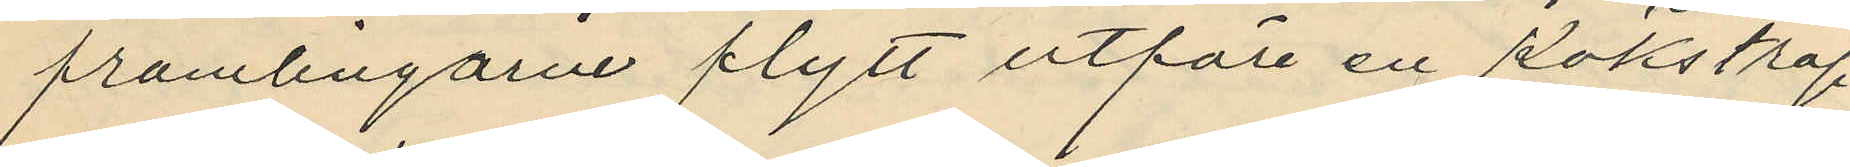främlingarne flytt utföre en kökstrap¬
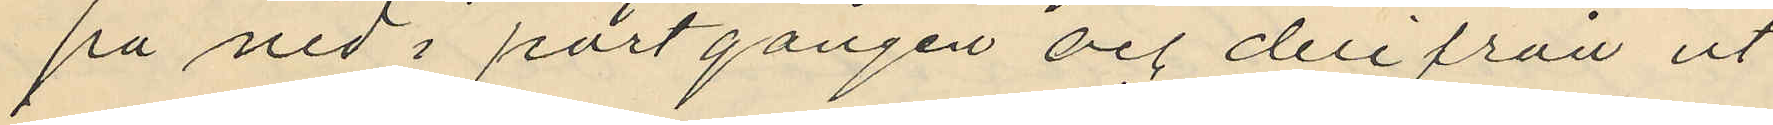på ned i portgången och derifrån ut
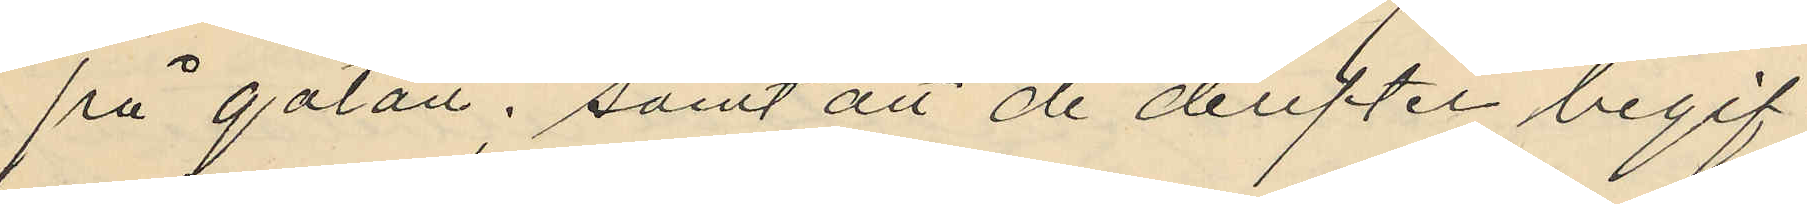på gatan; samt att de derfter begif¬
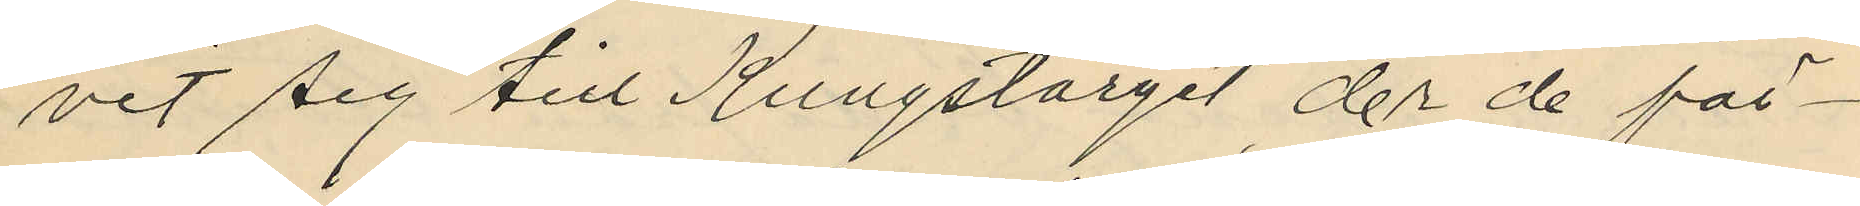vit sig till Kungstorget der de för¬
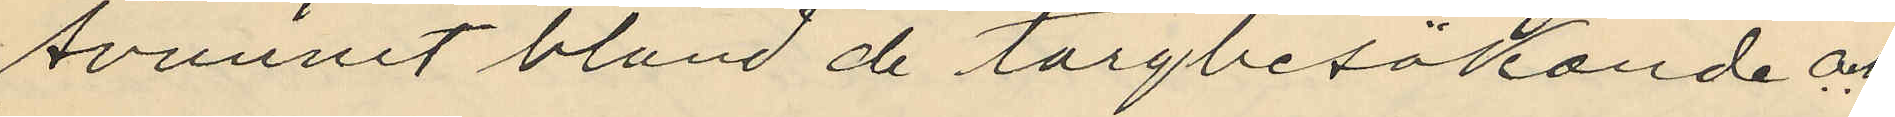svunnit bland de torgbesökande och
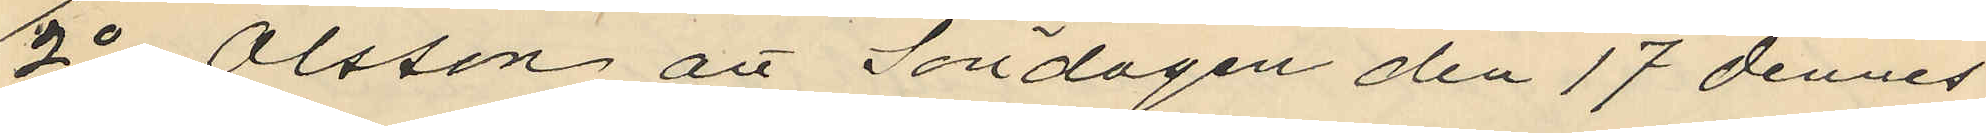2o Olsson att Söndagen den 17 dennes
